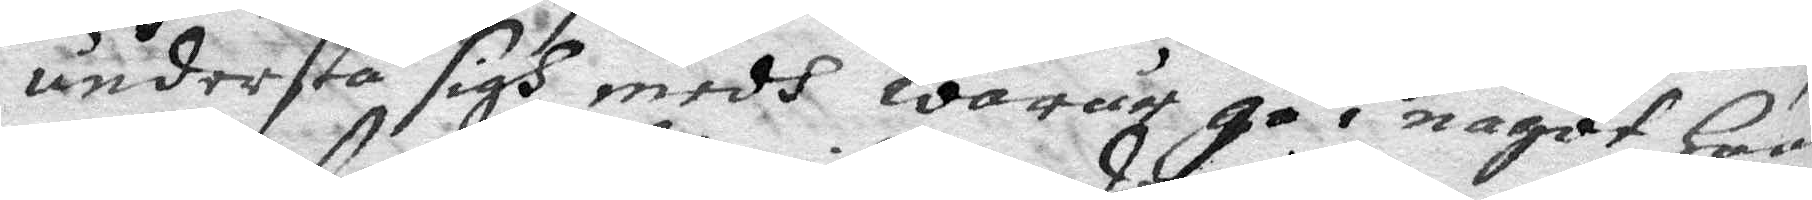understå sigh medh warur gå i något hon
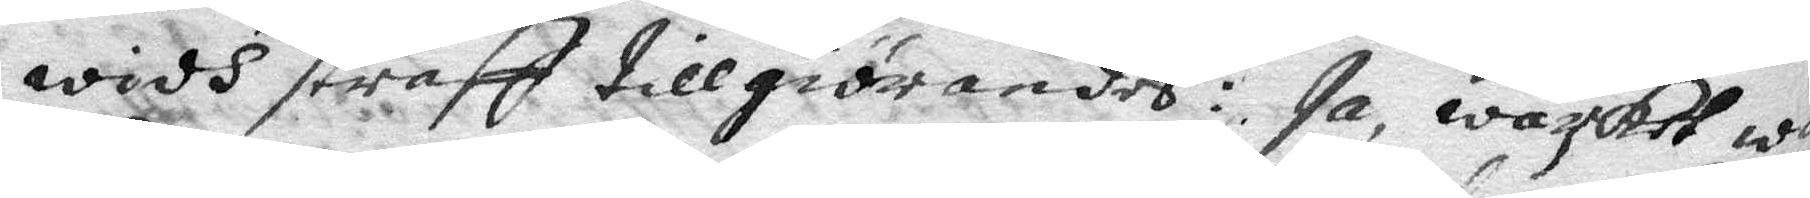widh straff tillgiörandes: Ja, wärket wo
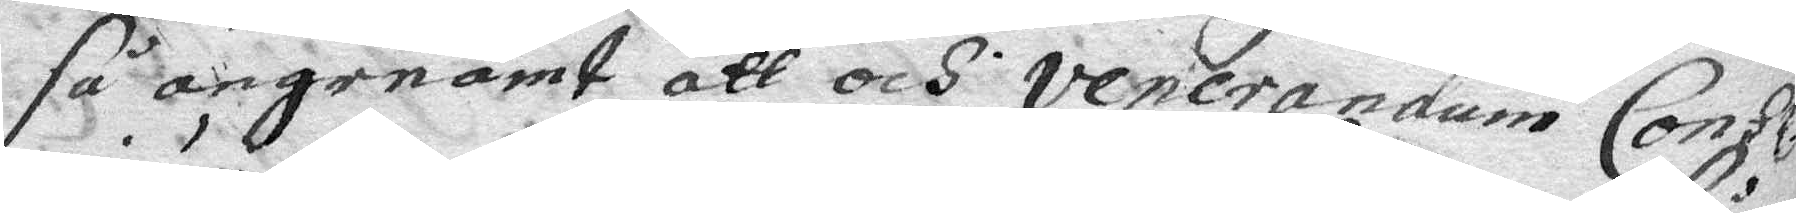så angenämt att och venerandum Conhl¬
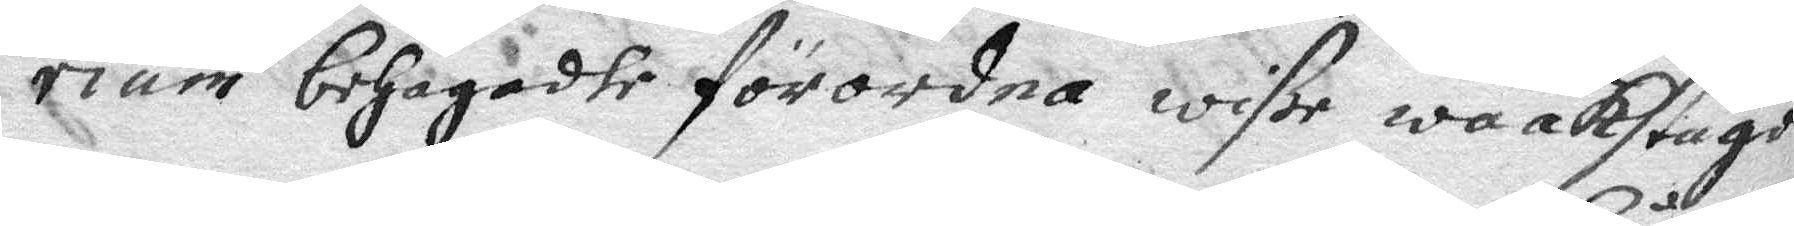rium behagadhe förordna wiße waakstugo
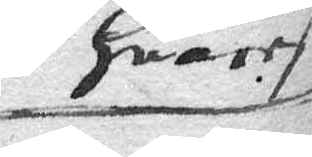huarest
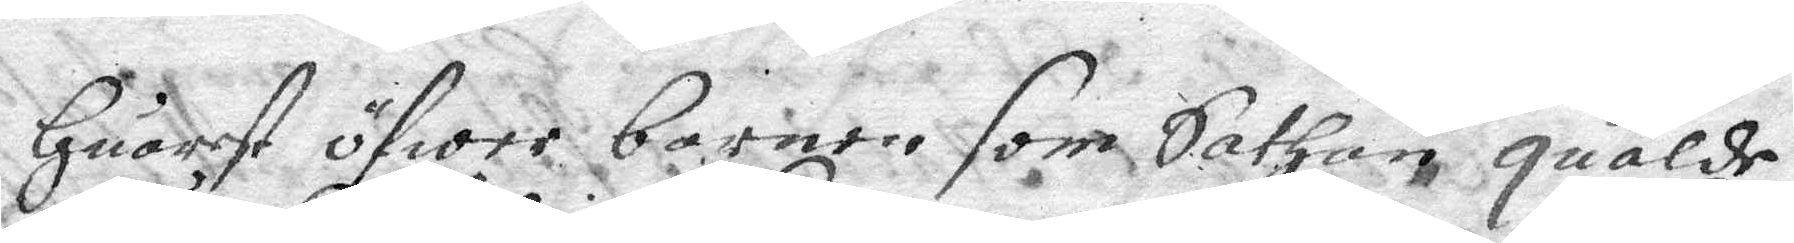huarest öfwer barnen som Sathan qualde
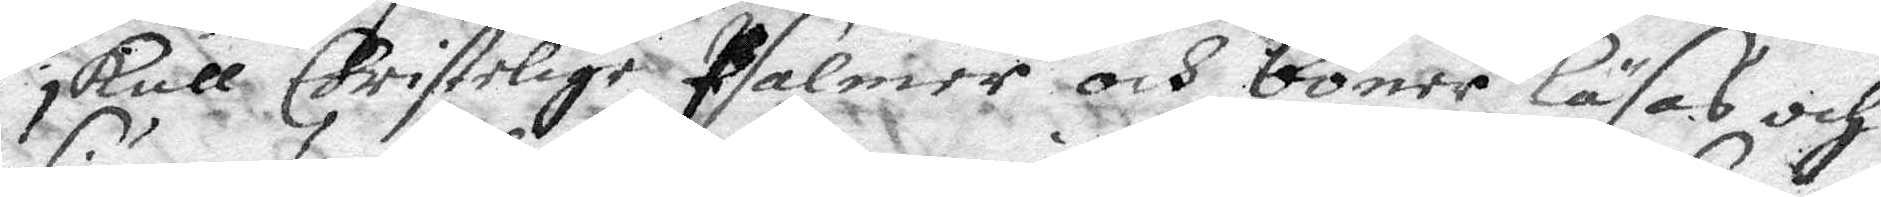skull Christelige Psalmer och böner läsas och
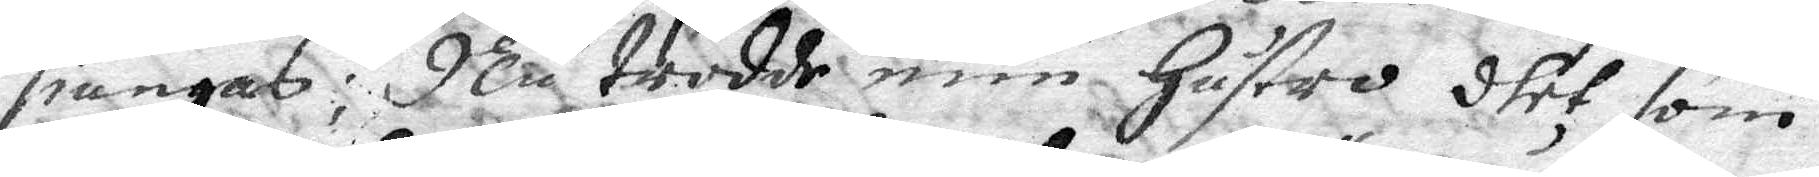siungas; Nu trodde min hustro dhet som
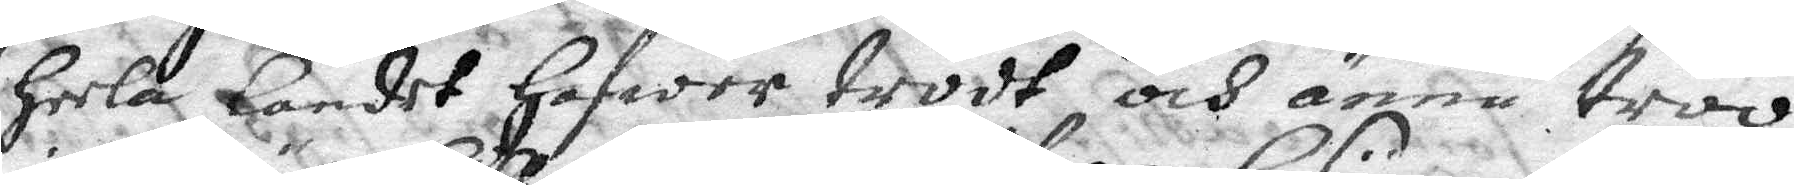heela landet hafwer trodt och ännu troo,
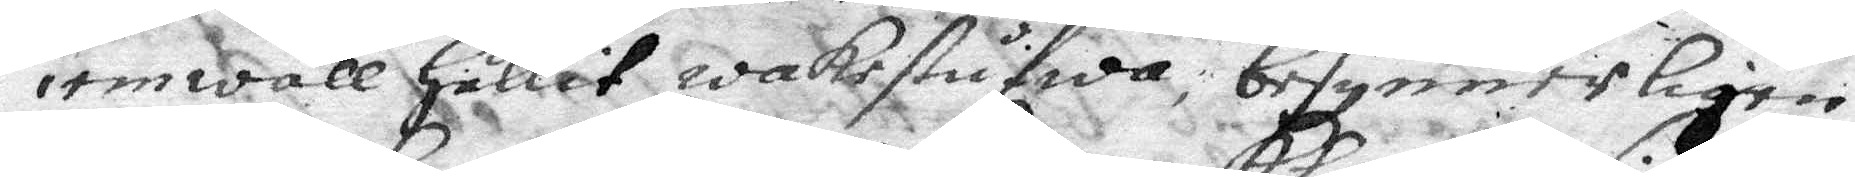iemwäll hållut wakestufwa; besynnerligen
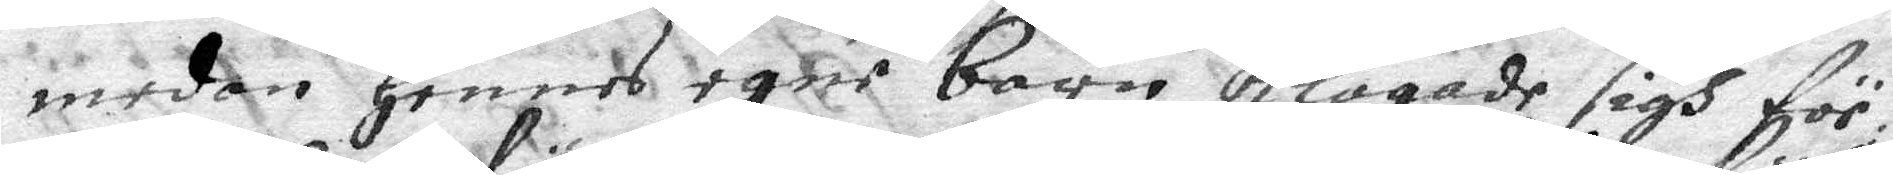medan hennes egne barn klagade sigh för
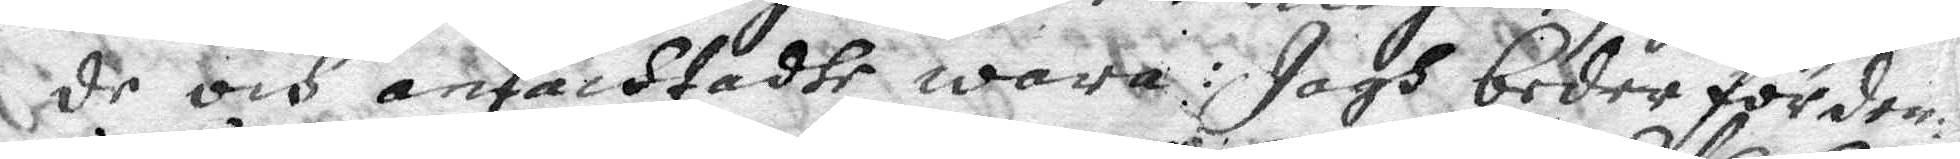de och anfächtadhe wara: Jagh beder för den¬
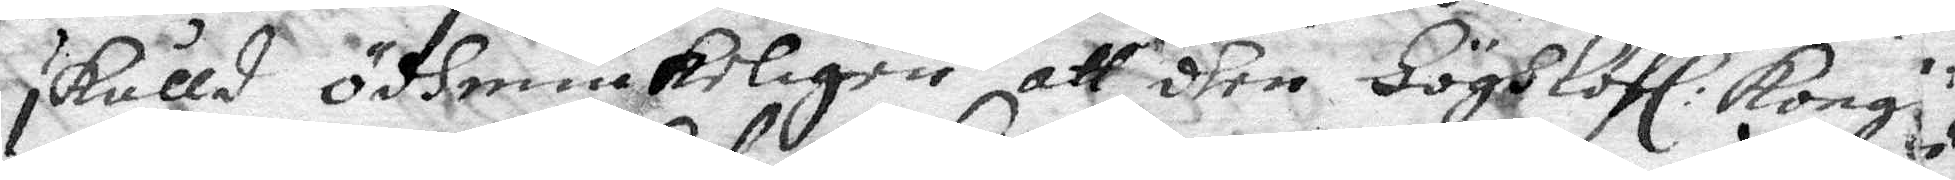skulld ödhmiukeligen att dhen höghlofl: Kong
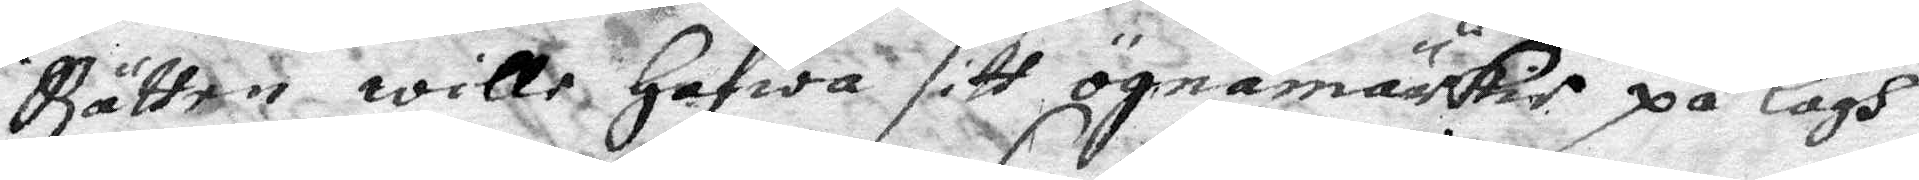Rätten wille hafwa sitt ögnemärkie på lagh
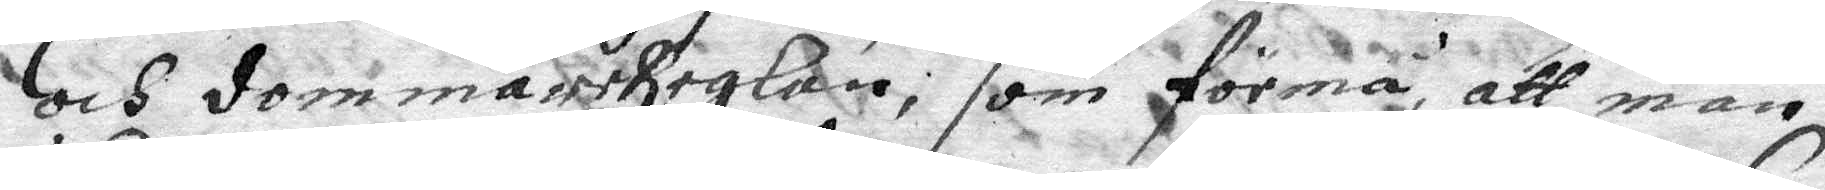och dommareReglan; som förmå att man
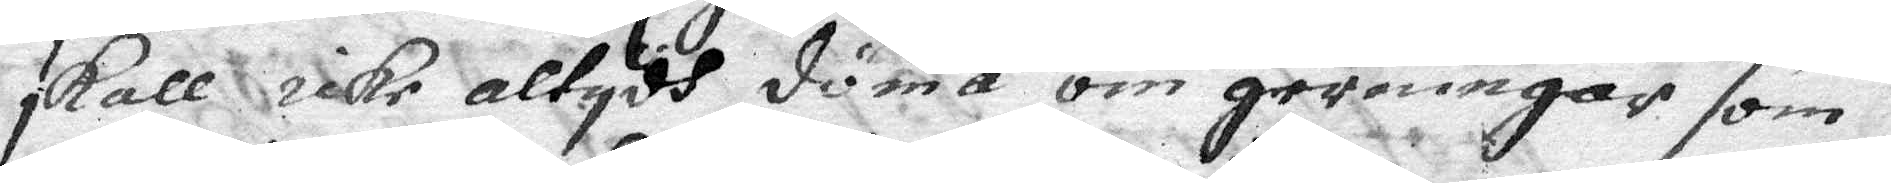skall icke altydh döma om gerningar som
